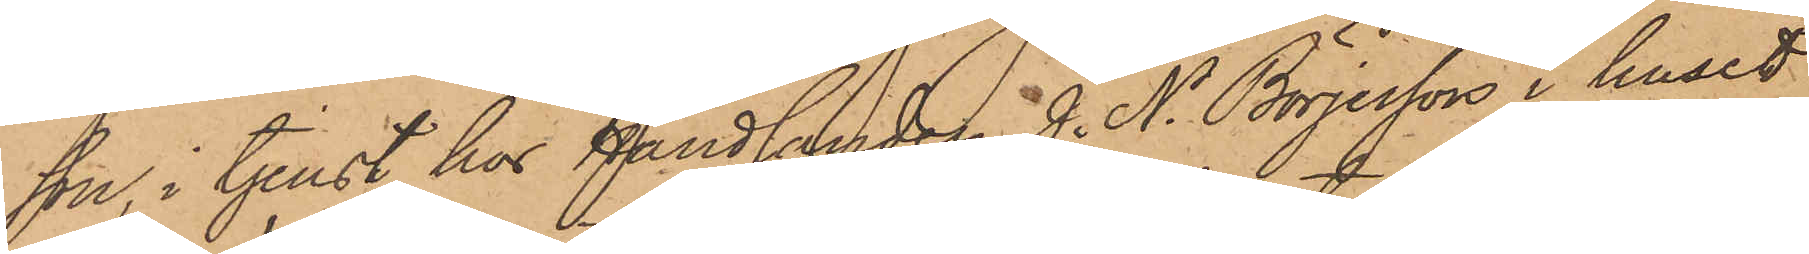son, i tjenst hos Handlanden J. N. Börjesson i huset
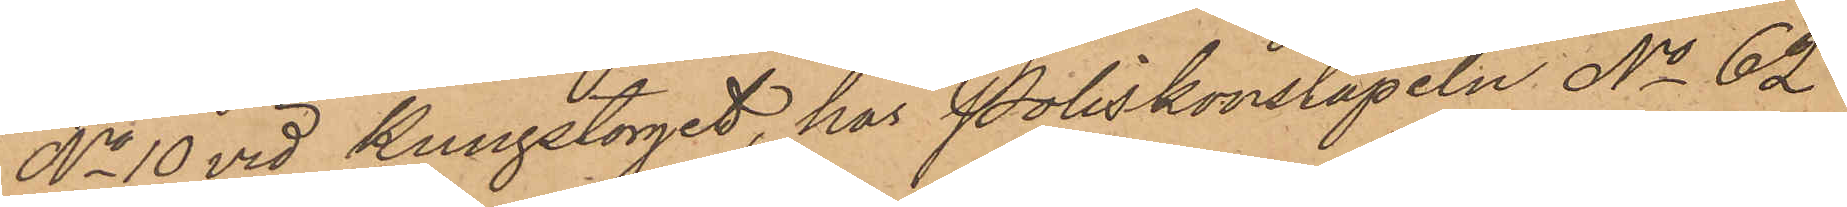No 10 vid Kungstorget, har Poliskonstapeln No 62
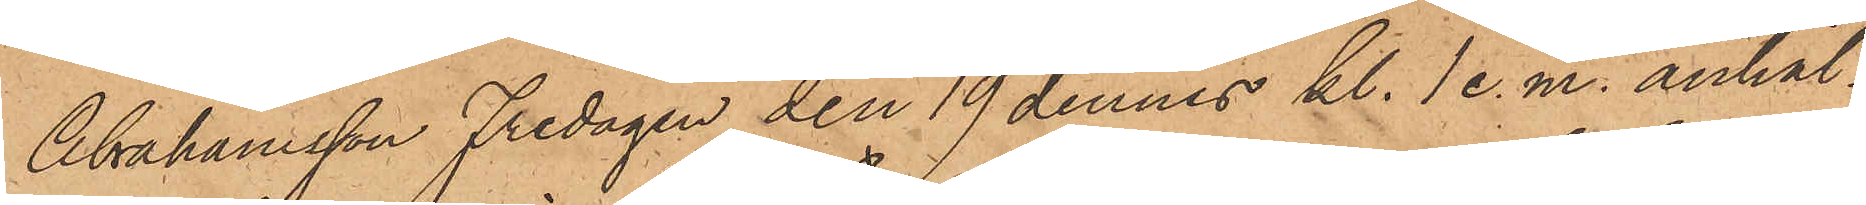Abrahamsson Fredagen den 19 dennes kl. 1 e.m. anhål¬
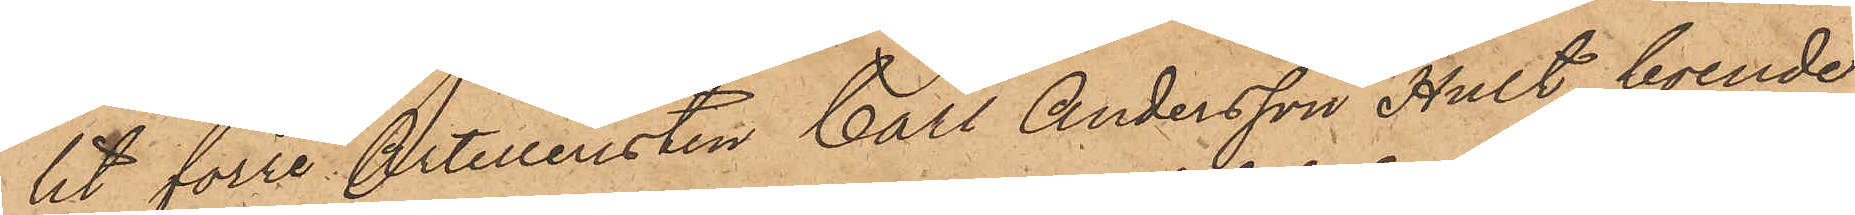lit förre Artilleristen Carl Andersson Hult, boende
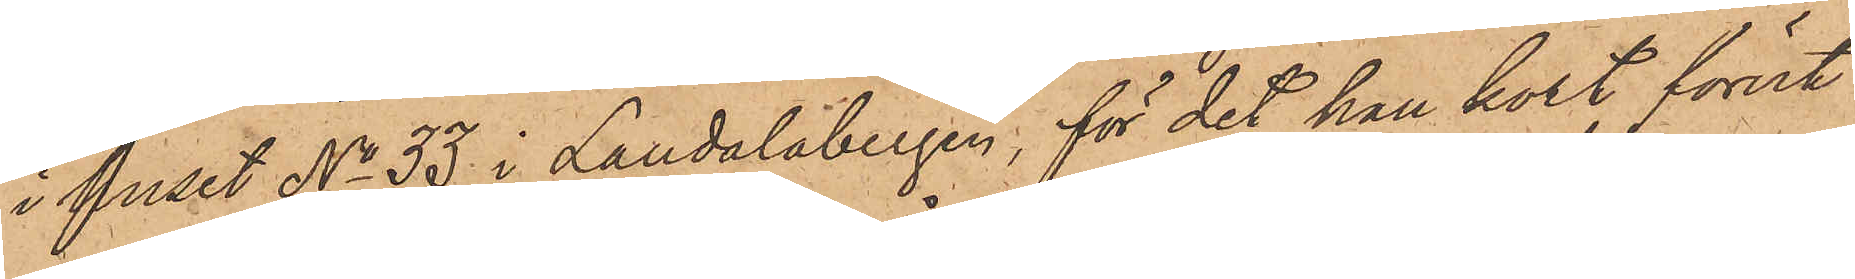i huset No 33 i Landalabergen, för det han kort förut
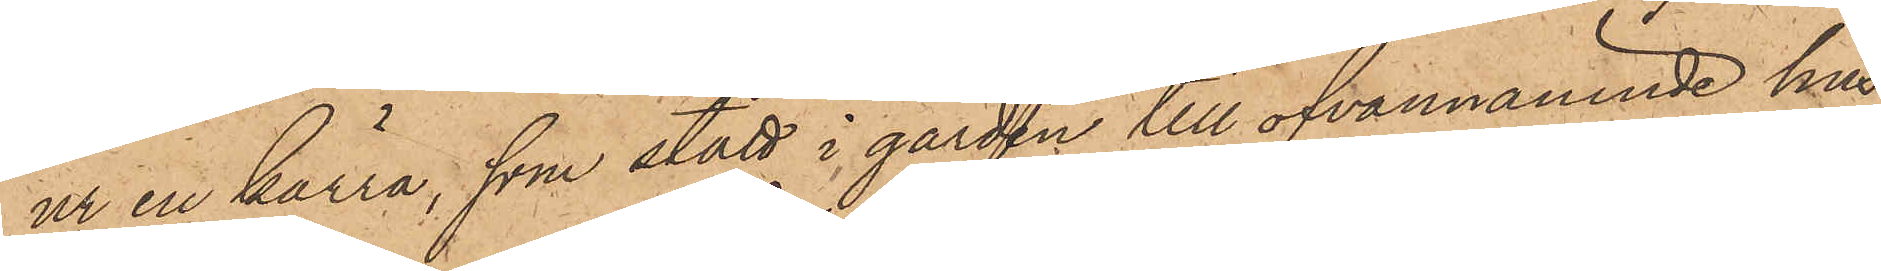ur en kärra, som stått i gården till ofvannämnde hus,
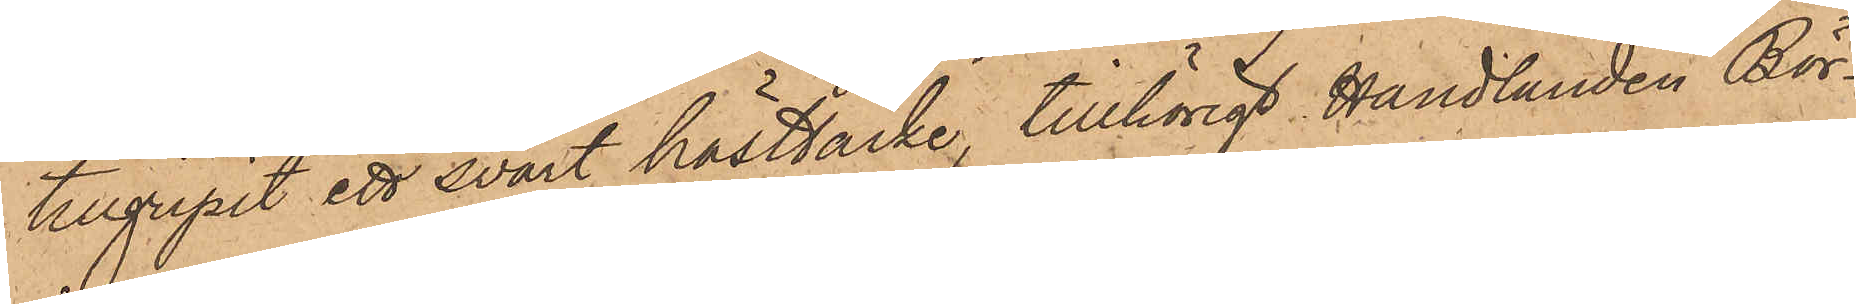tillgripit ett svart hästtäcke, tillhörigt Handlanden Bör¬
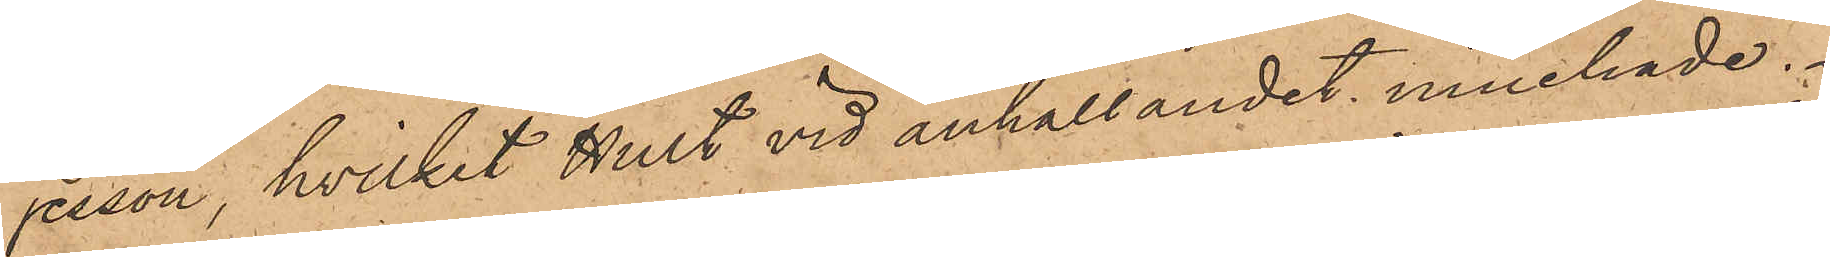jesson, hvilket Hult vid anhållandet innehade.
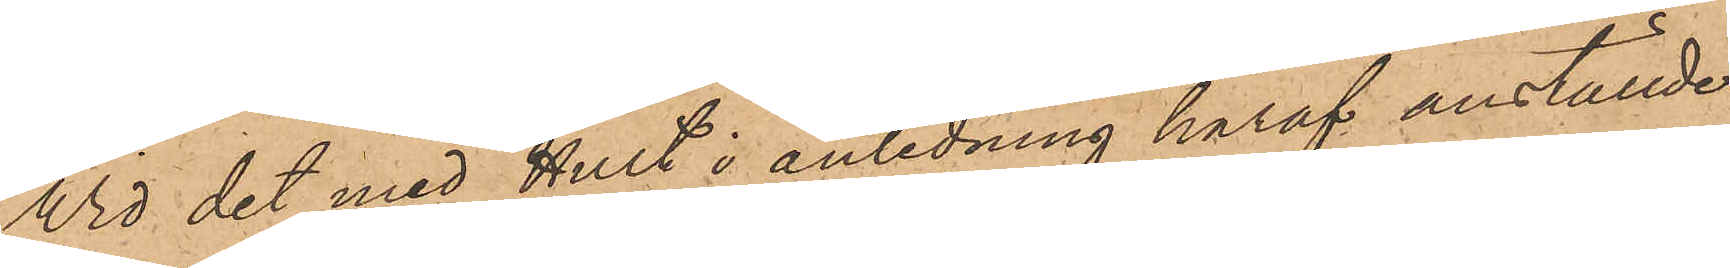Vid det med Hult i anledning häraf anställde
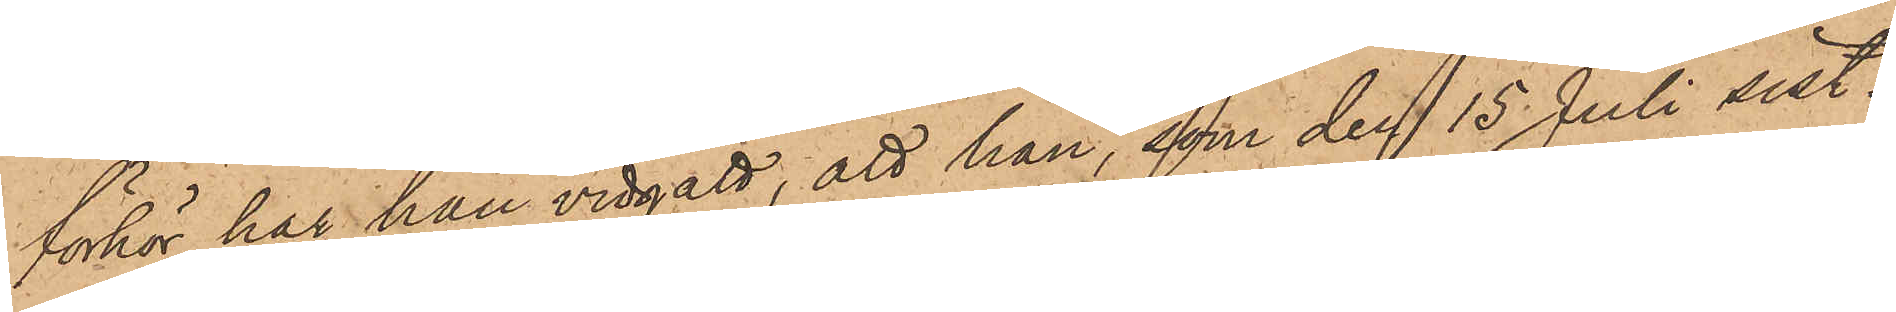förhör har han vidgått, att han, som den 15 Juli sist¬
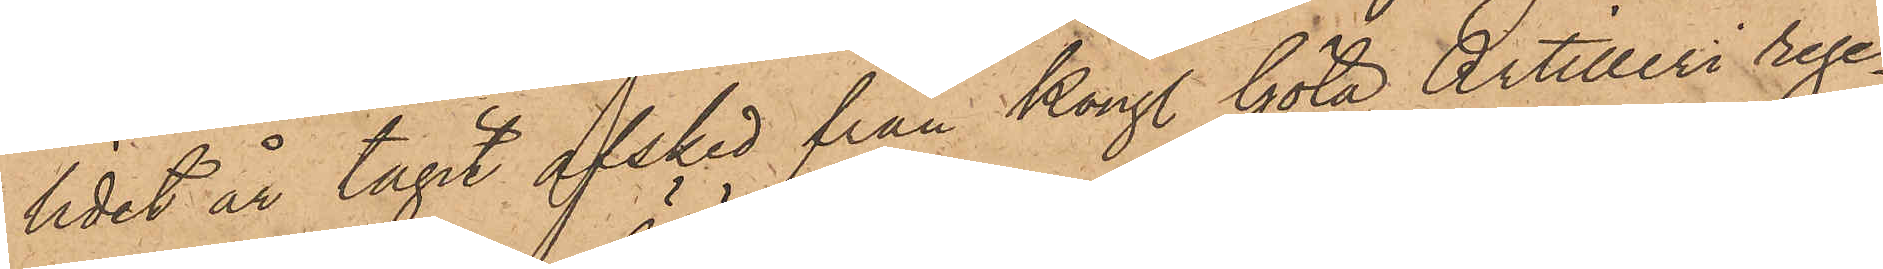lidet år tagit afsked från Kongl. Göta Artilleri rege¬
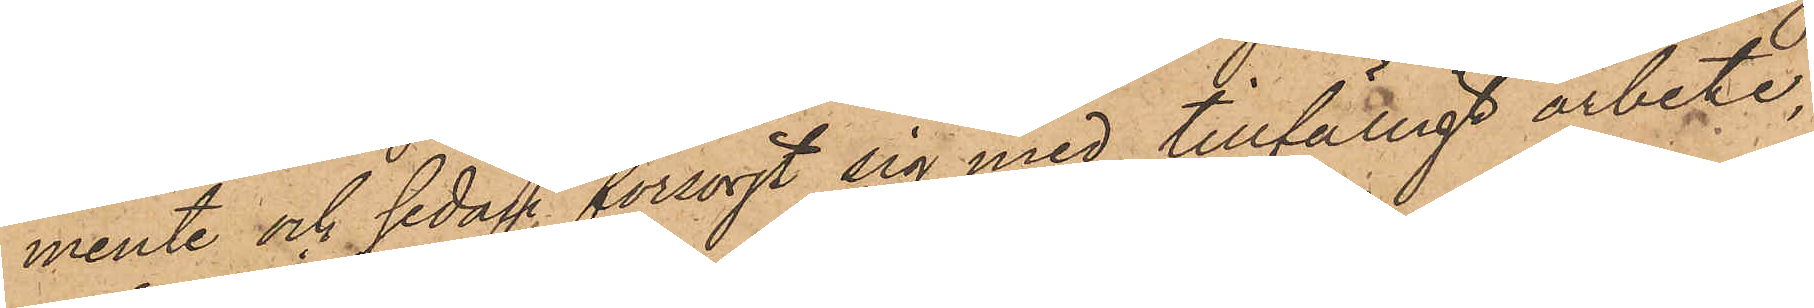mente och sedan försörjt sig med tillfälligt arbete,
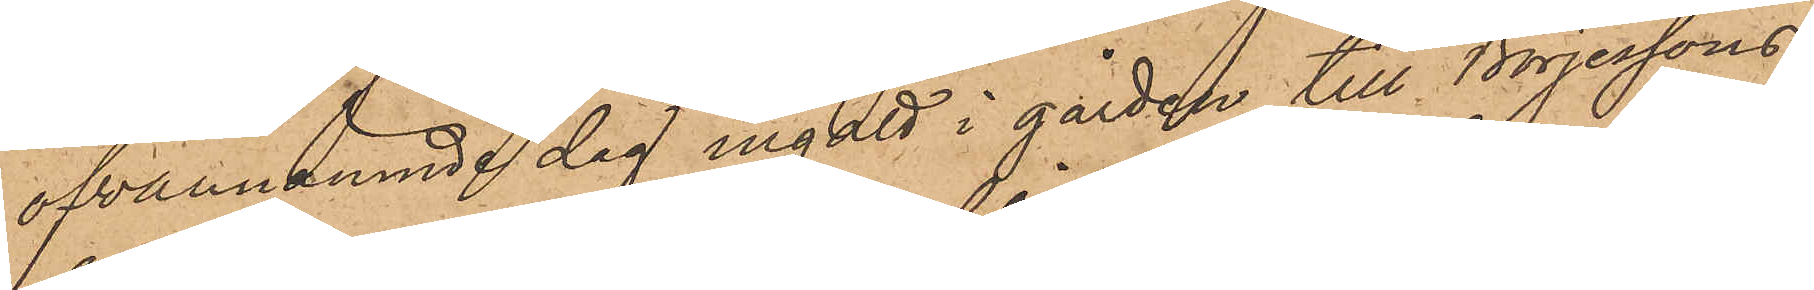ofvannämnde dag ingått i gården till Börjessons
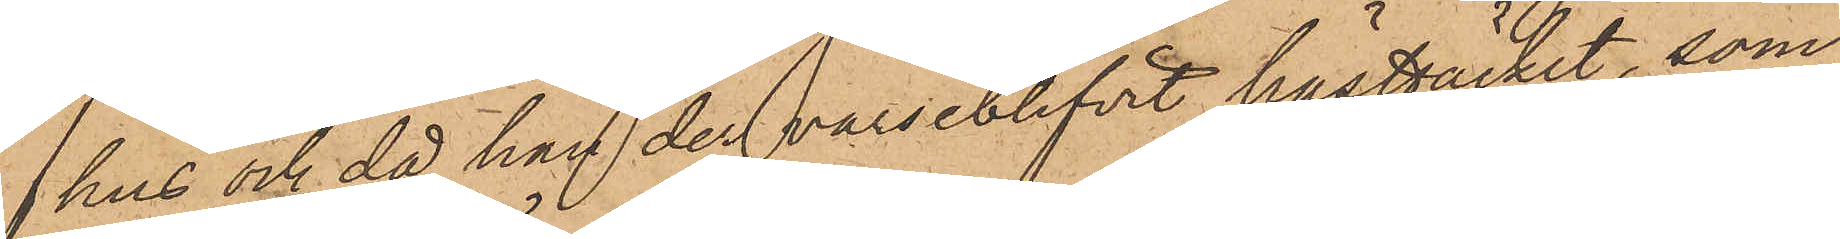hus och då han der varseblifvit hästtäcket, som
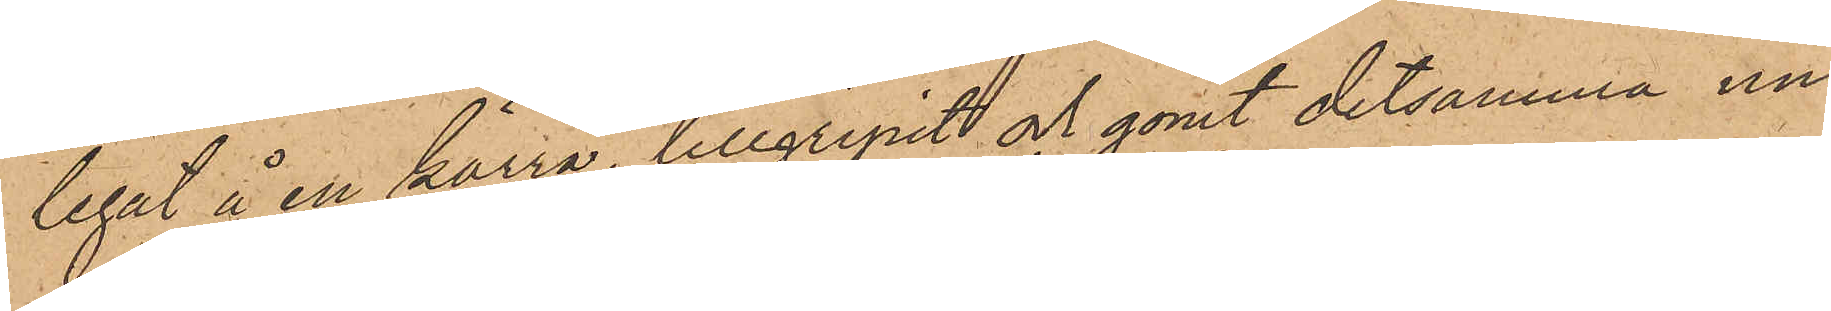legat å en kärra, tillgripit och gömt detsamma un¬
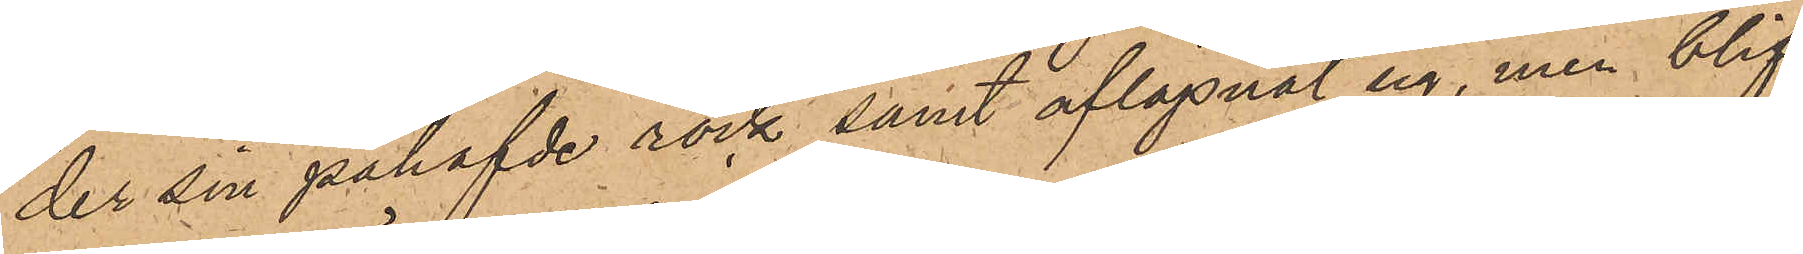der sin påhafvde rock samt aflägsnat sig, men blif¬
